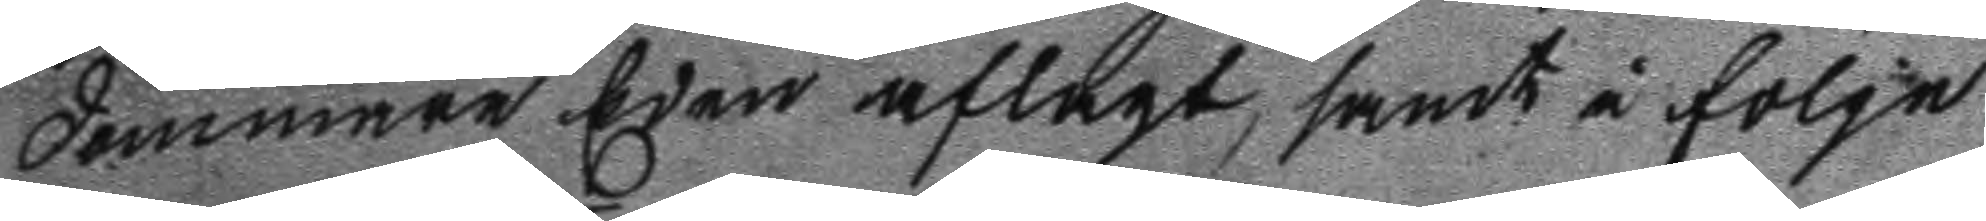dommare Eden aflagt, samt å fölge
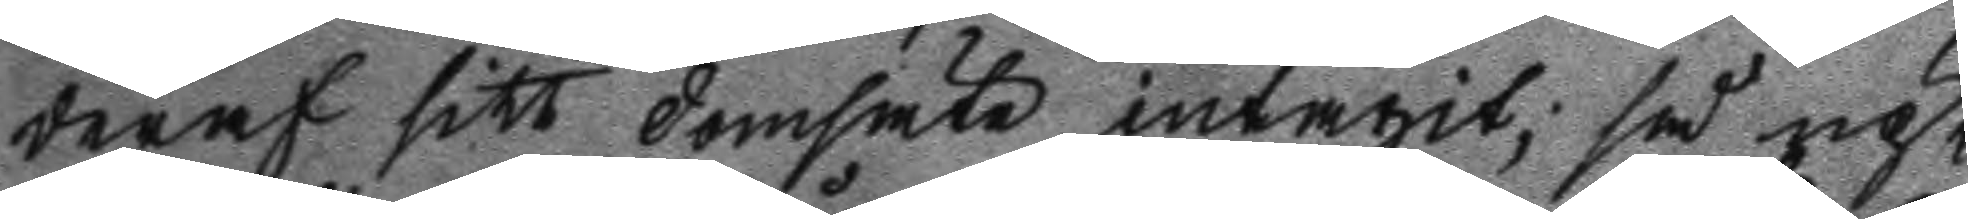deraf sitt domsäte intagit; så up¬
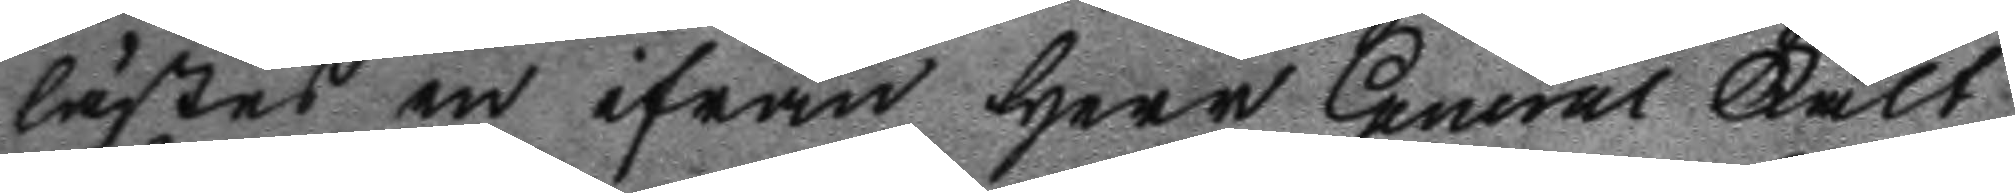lästes en ifrån Herr General Fält
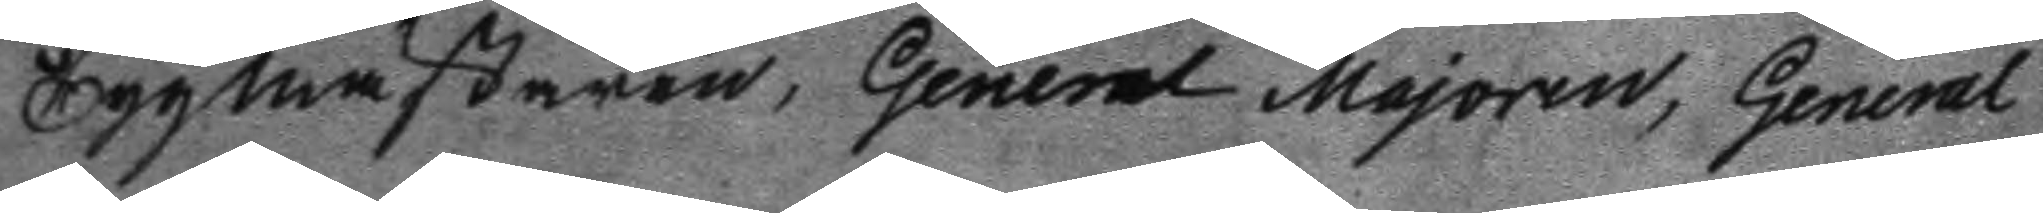Tygmästaren, General Majoren General 
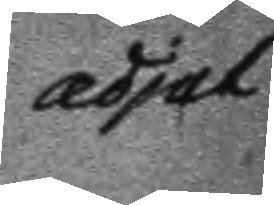adjut
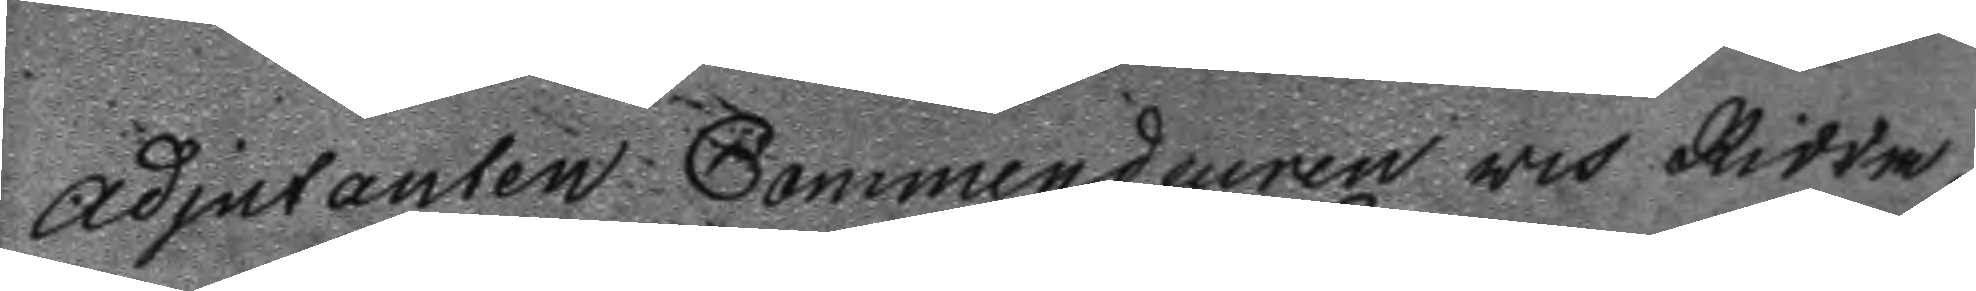adjutanten Commendeuren och Ridda¬
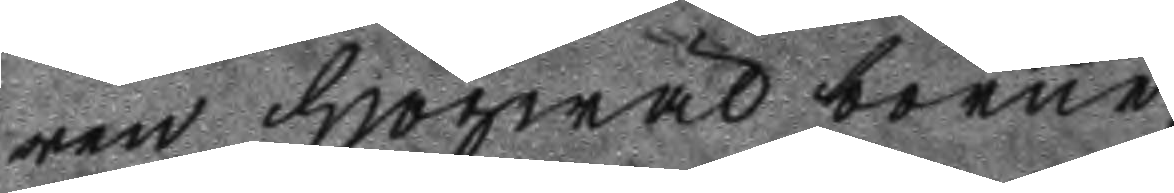ren Högwälborne 
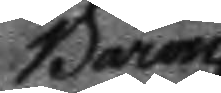Baron
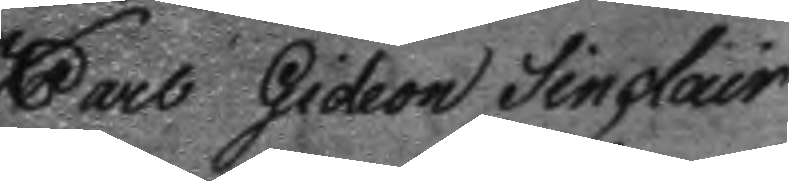Carl Gideon Sinclair 
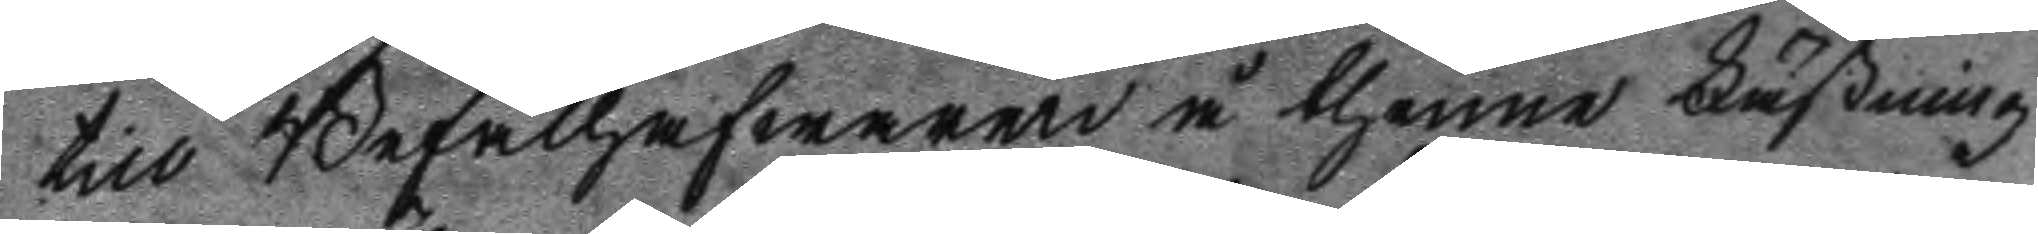till Befälhafwaren å thenne Fästning
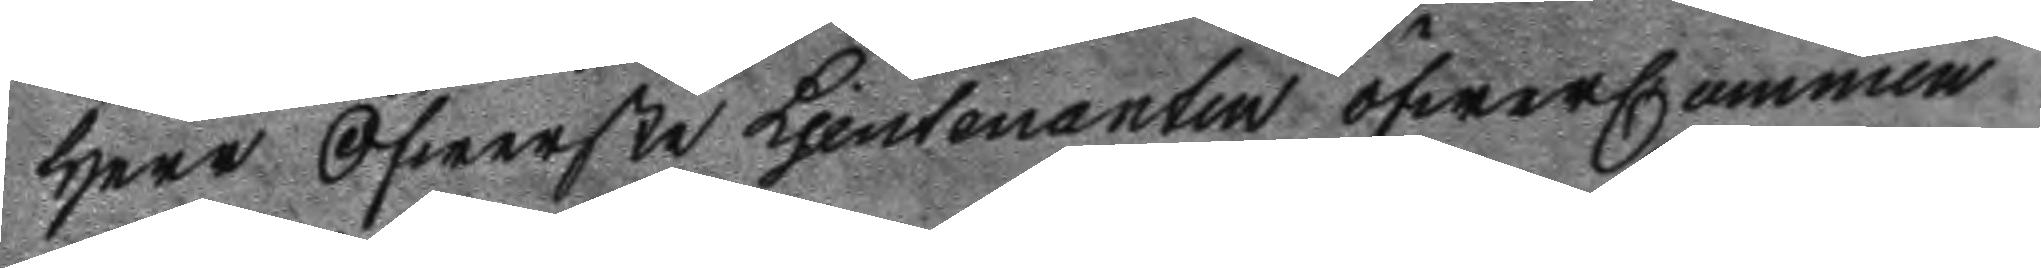Herr Öfwerste Ljeutenaten ÖfwerCommen
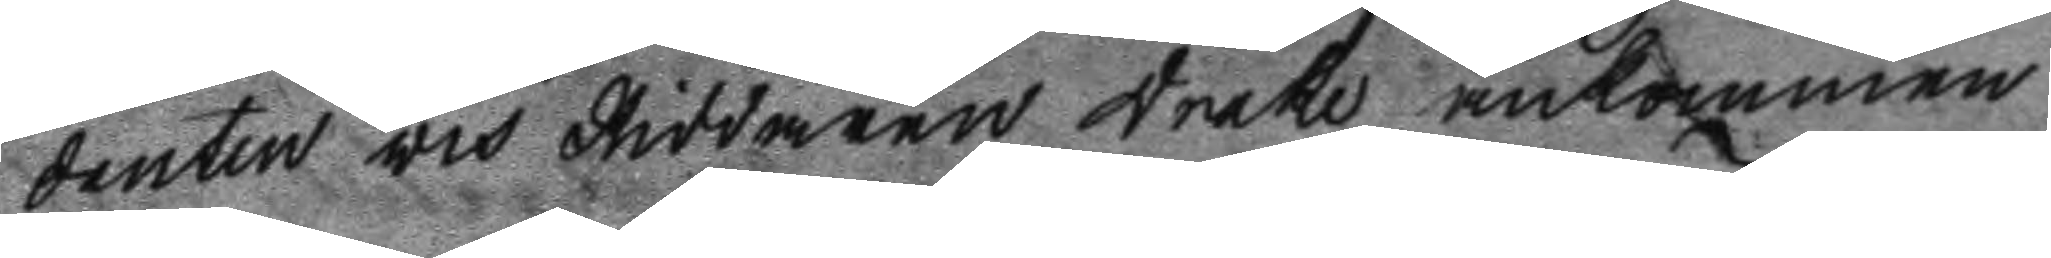danten och Riddaren Drake ankommen
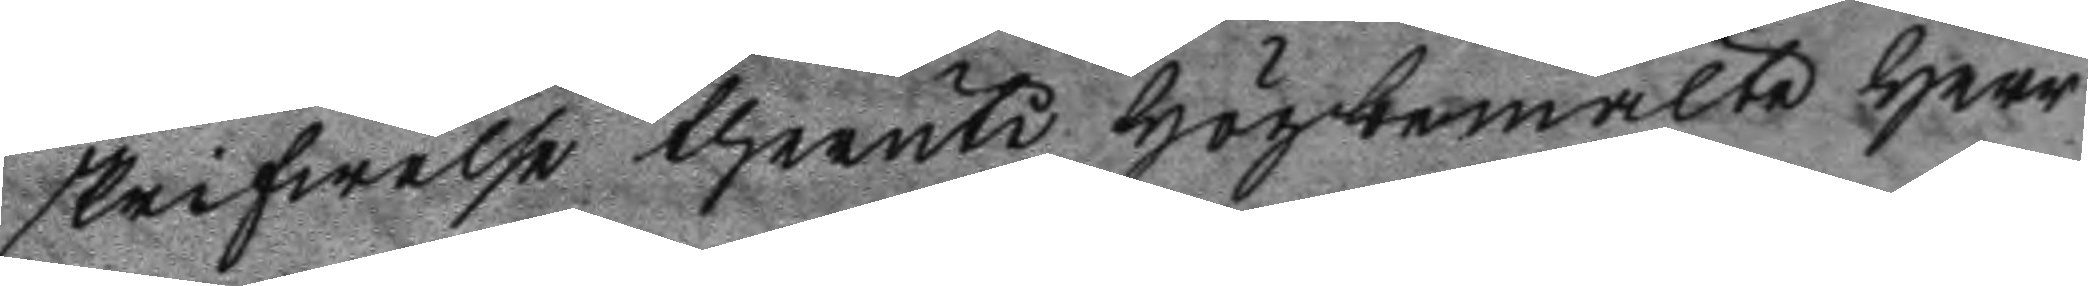skrifwelse theruti högbemälte Herr
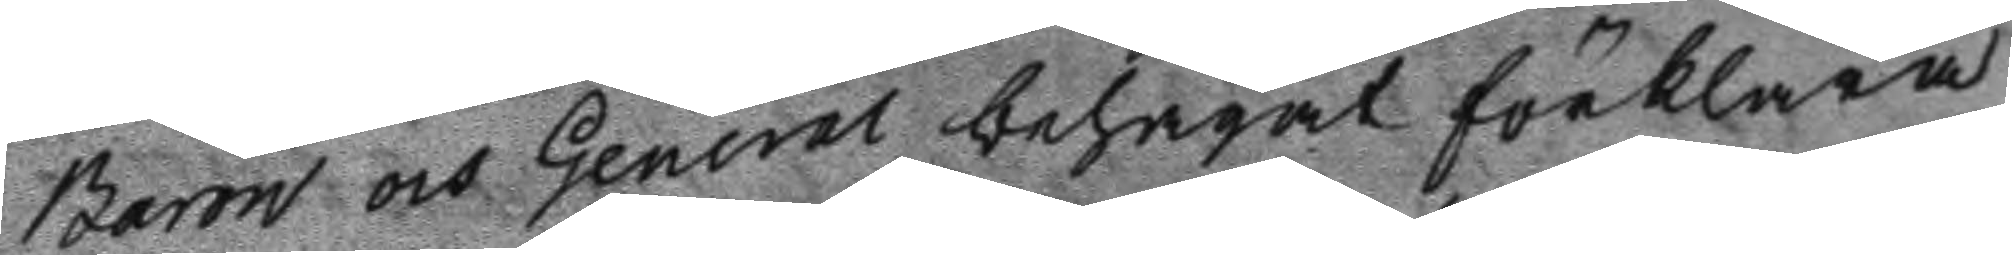Baron och General behagat förklara
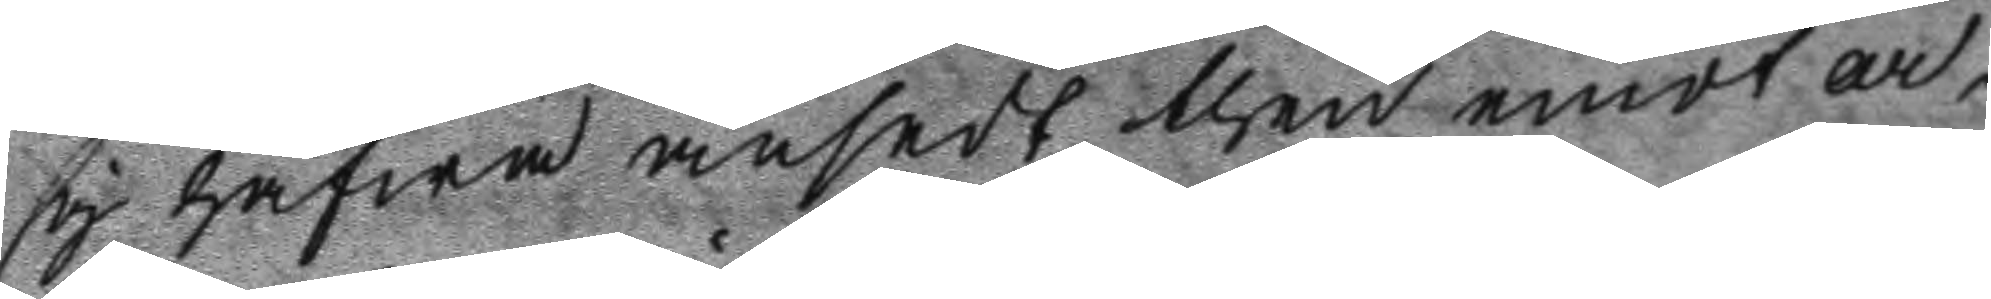sig hafwa ansedt then emot ar¬
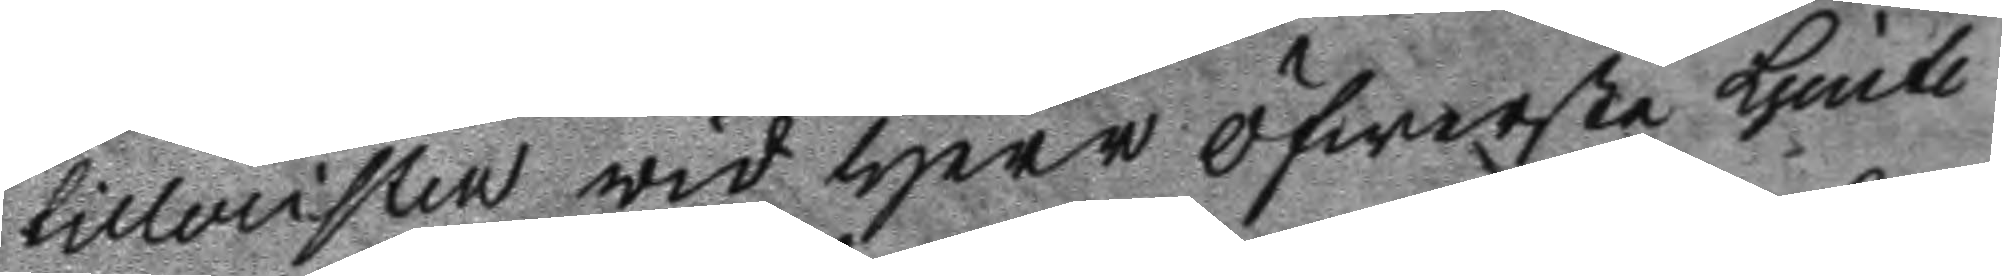tilleristen wid Herr Öfwerste Ljeute
